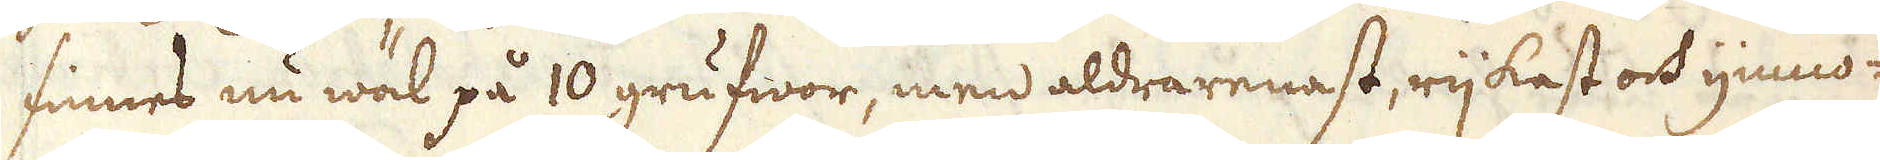finnes nu wäl på 10 grufwor, men aldra renast, rijkast och ymno-
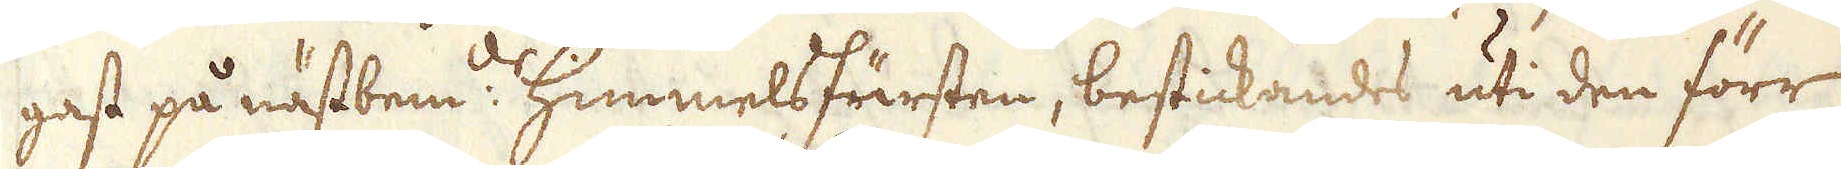gast på nästbem:te Himmelsfursten, bestickandes uti den förr
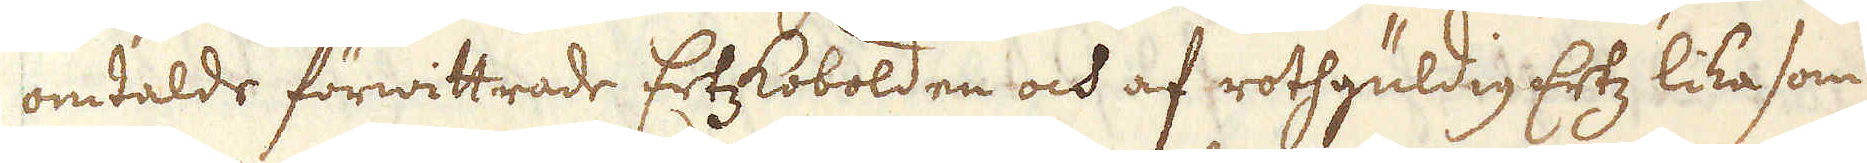omtalde förwittrade ErtzKobolden och af rothgüldig Ertz lika som
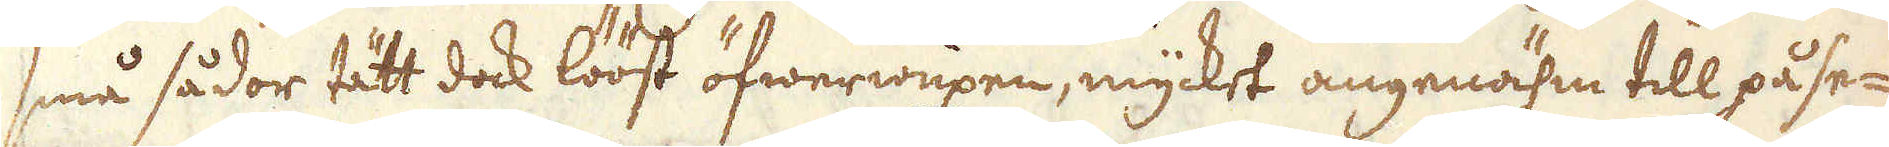små sådor tätt dock lööst öfwerwuxne, mycket angenähm till påse-
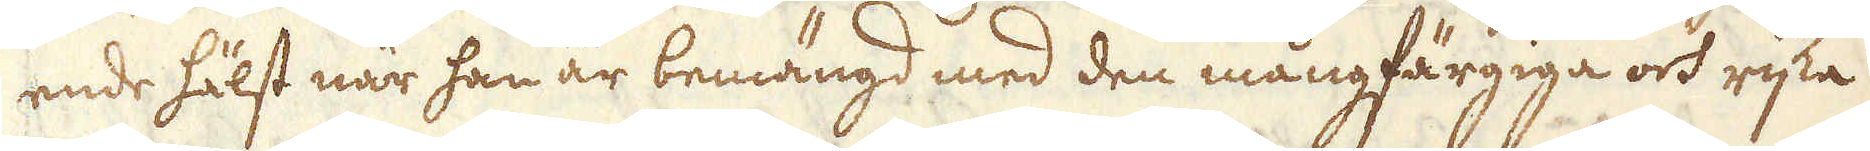ende hälst när han är bemängd med den mångfärgiga och rijka
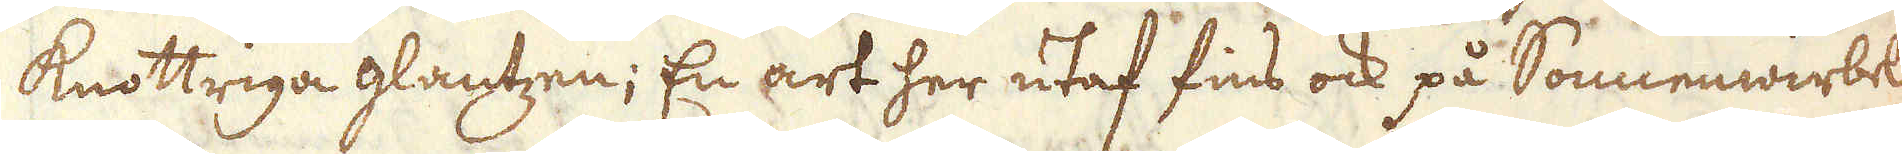knottriga glantzen; En art her utaf fins ock på Sonnenwirbel
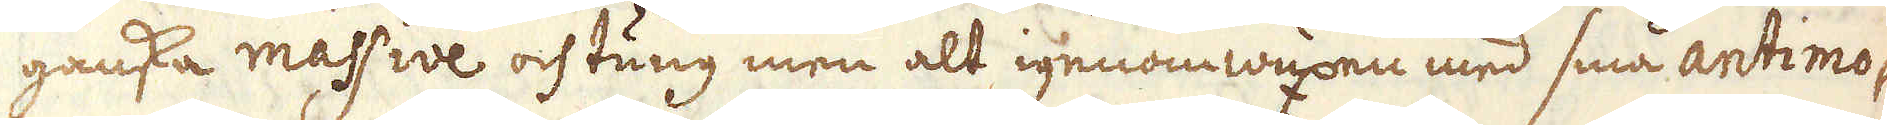ganska massive och tung men alt igenom wuxen med små antimo-
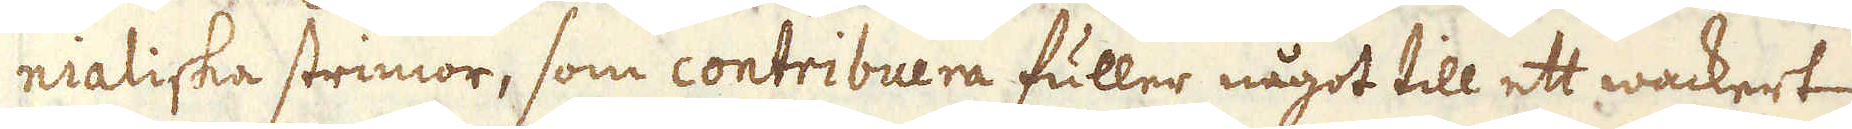nialiska strimor, som contribuera fuller något till ett wackert
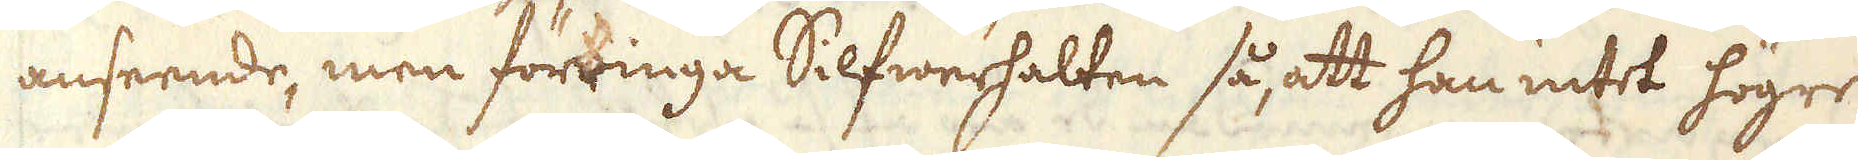anseende, men förringa Silfwerhalten så att han intet högre
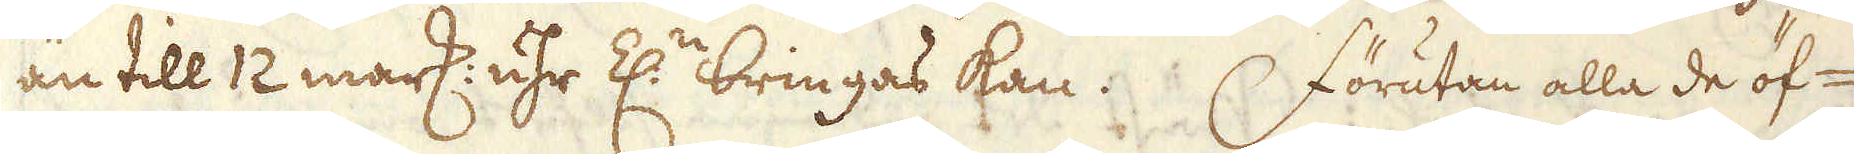än till 12 mark: uhr Z:n bringas kan.  Förutan alla de öf-
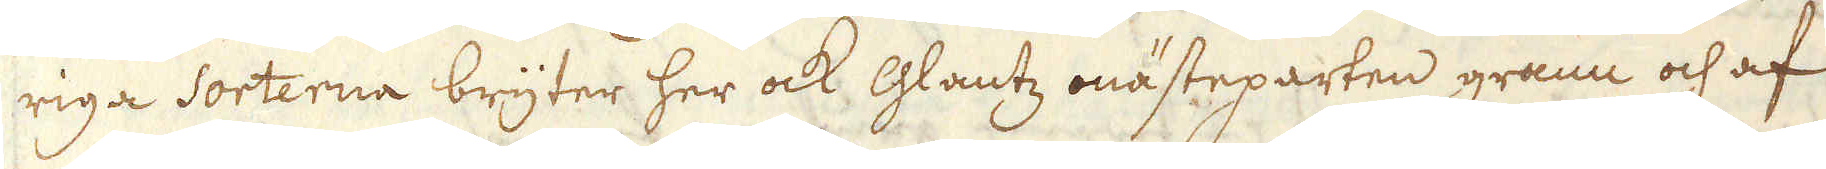riga Sorterna bryter her ock Glantz mästeparten grann och af
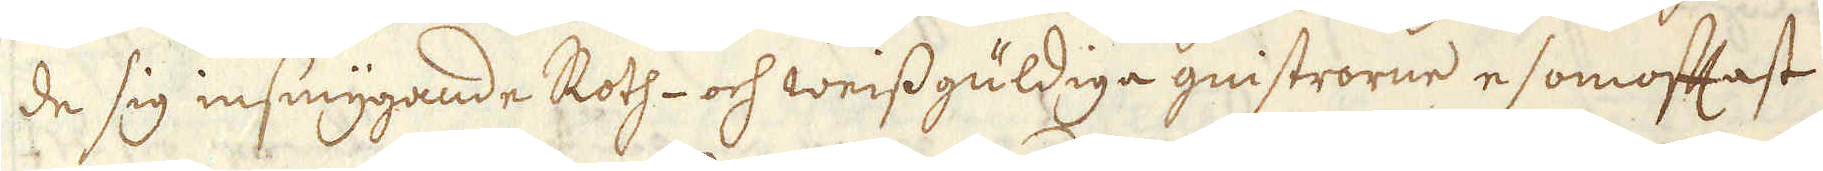de sig insmygande Roth- och weissgüldiga gnistrorne esomoftast
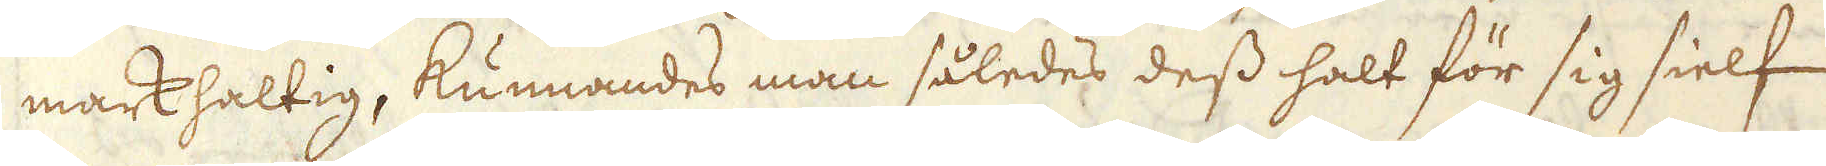markhaltig, kunnandes man således dess halt för sig sielf
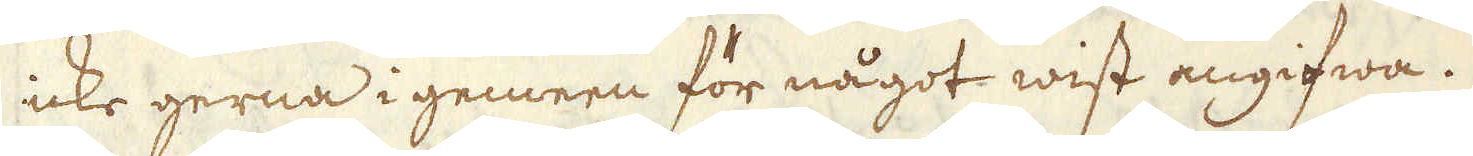icke gerna i gemeen för något wist angifwa.
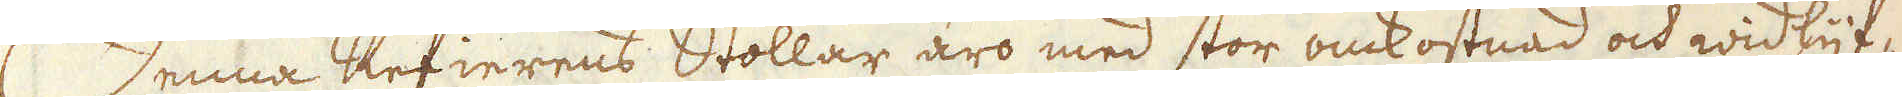Denna Refierens Stollar äro med stor omkostnad och widlyf-
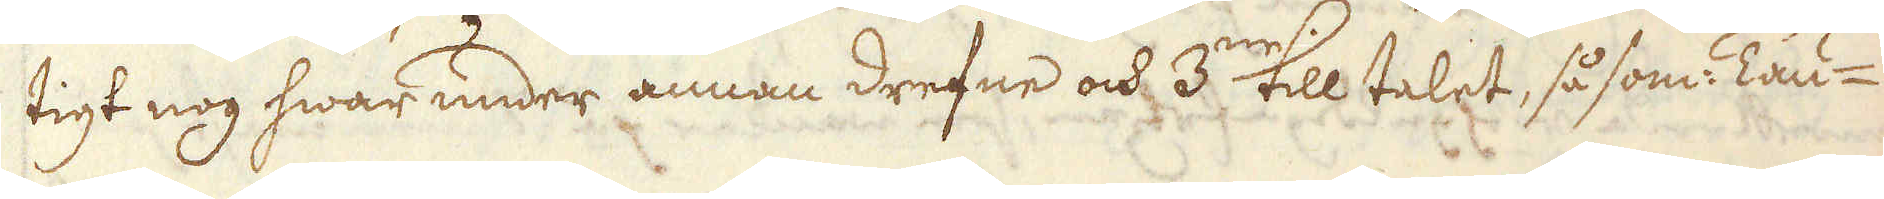tigt nog hwar under annan drefne och 3:ne till talet, såsom Tau-
